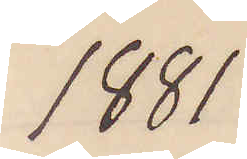1881
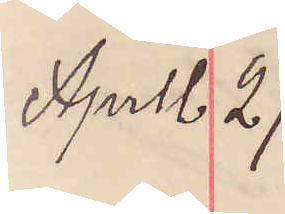April 27.
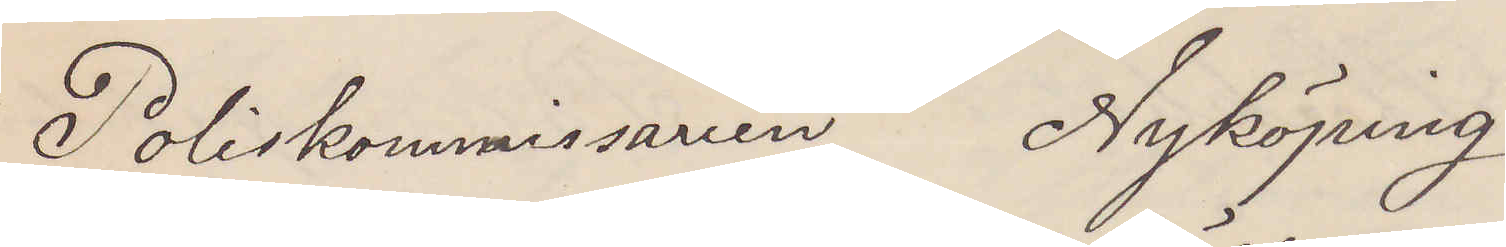Poliskommissarien Nyköping
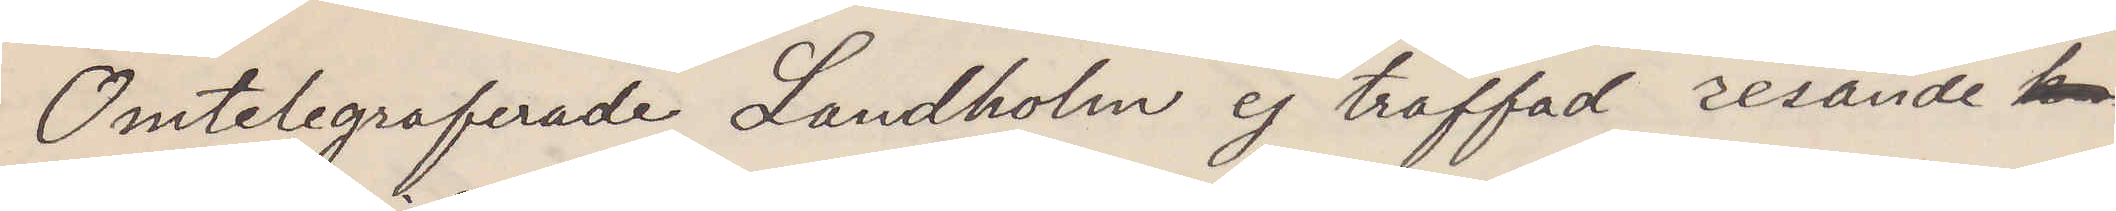Omtelegraferade Landholm ej träffad resande
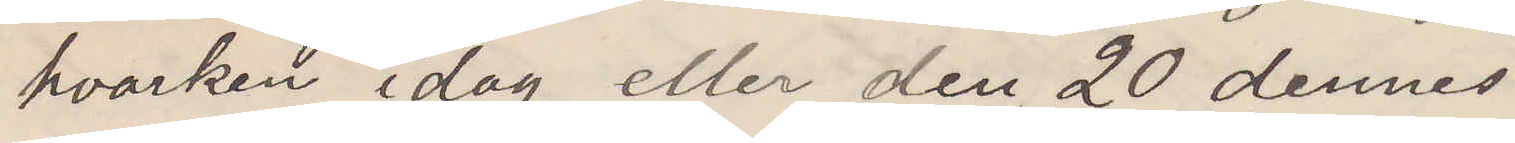hvarken idag eller den 20 dennes.
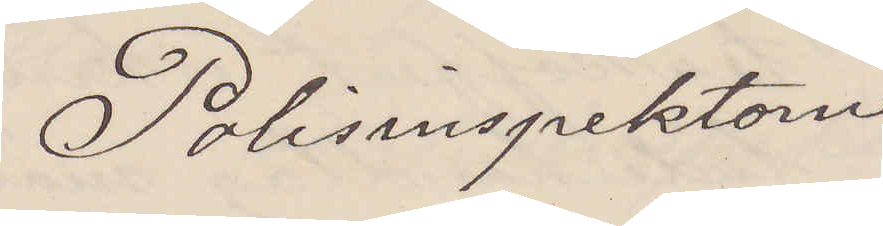Polisinspektorn
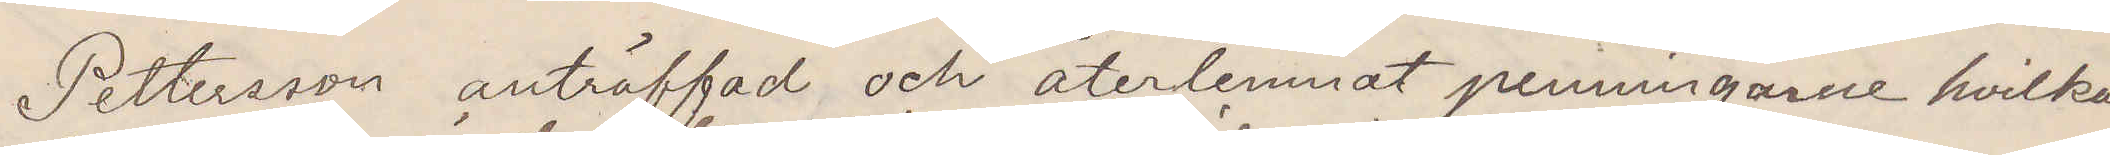Pettersson anträffad och återlemnat penningarne hvilka
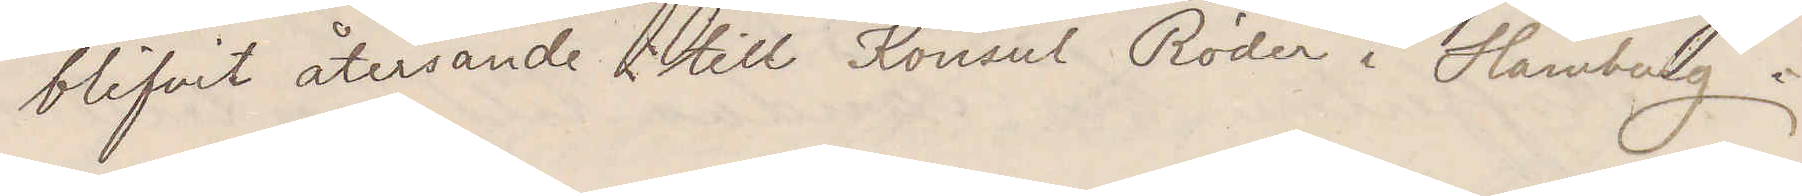blifvit återsände till Konsul Röder i Hamburg.
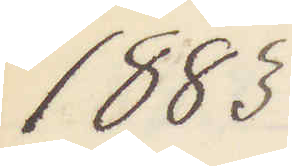1883
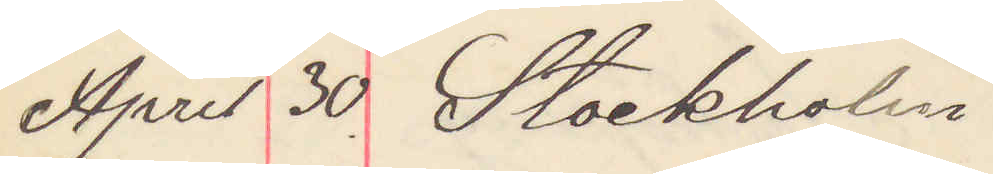April 30. Stockholm
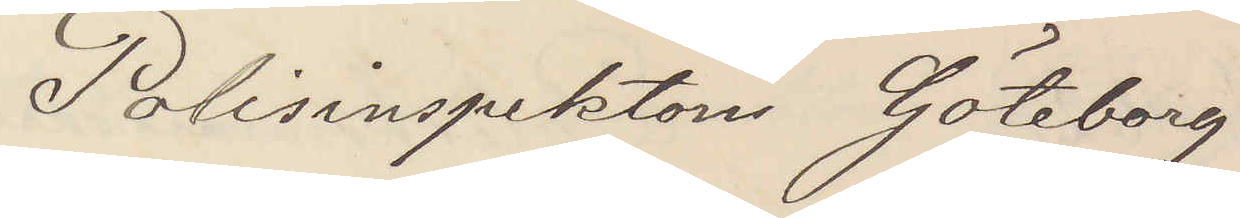Polisinspektorn Göteborg
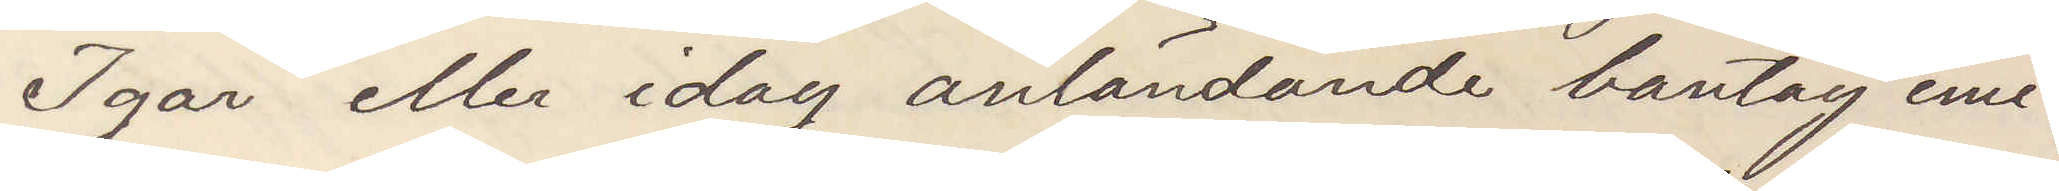Igår eller idag anländande bantåg emi¬
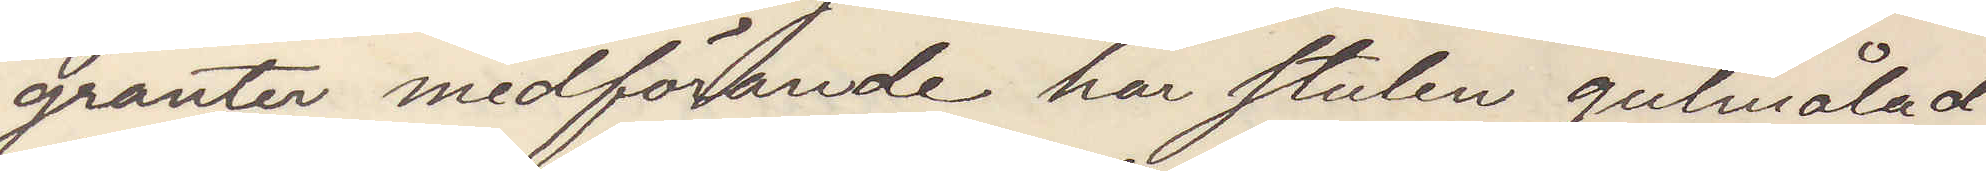granter medförande här stulen gulmålad
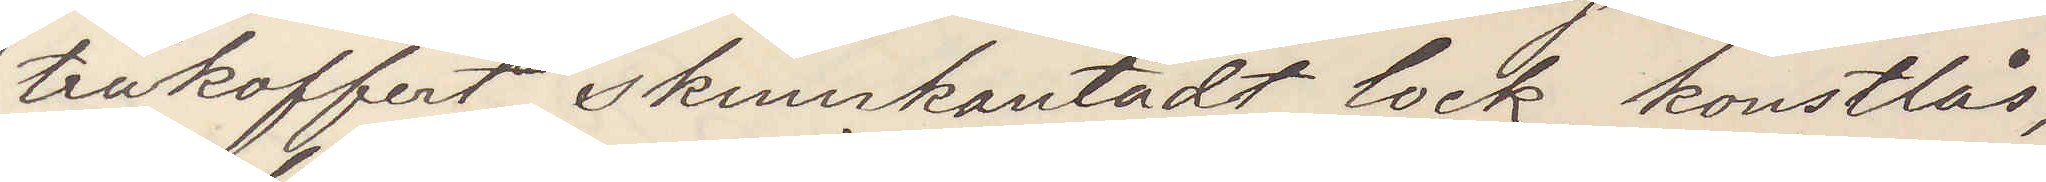träkoffert skinnkantadt lock konstlås,
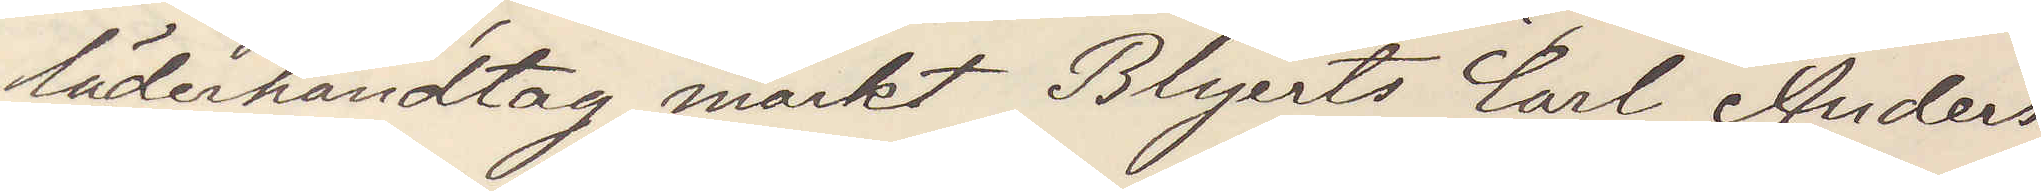läderhandtag märkt Blyerts Carl Anders
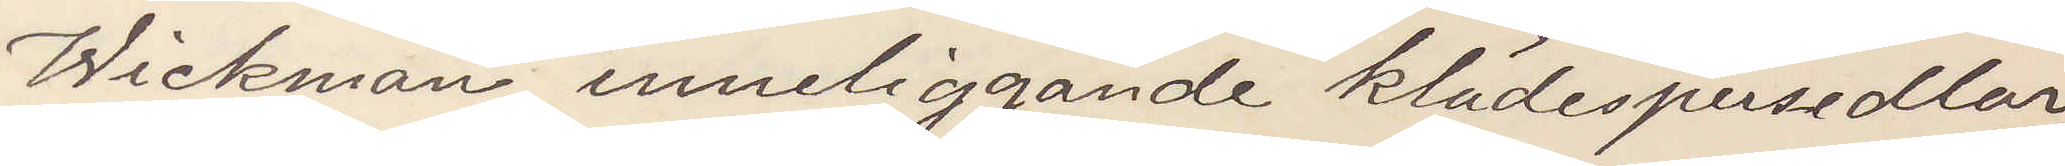Wickman, inneliggande klädespersedlar
